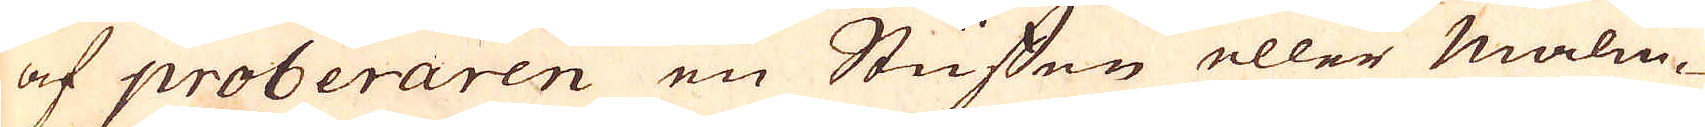af proberaren en Stuffen eller Malm-
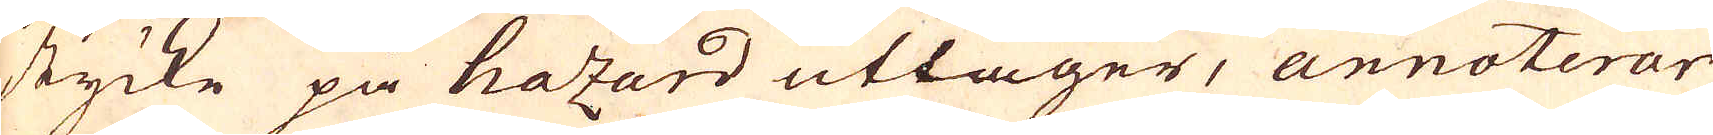stycke på hazard uttager, annoterar
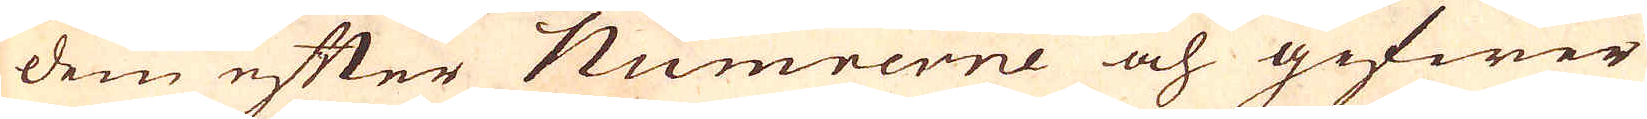dem efter Numrerne och gifwer
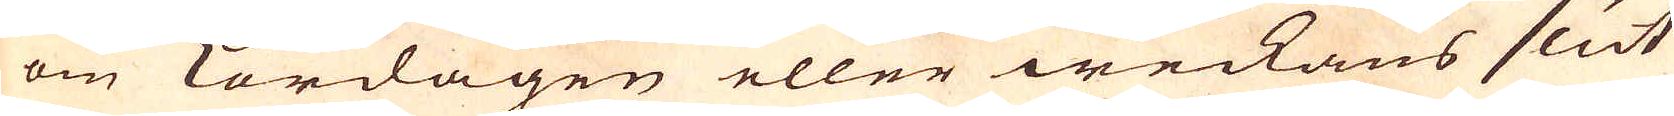om Lördagen eller weckans slut
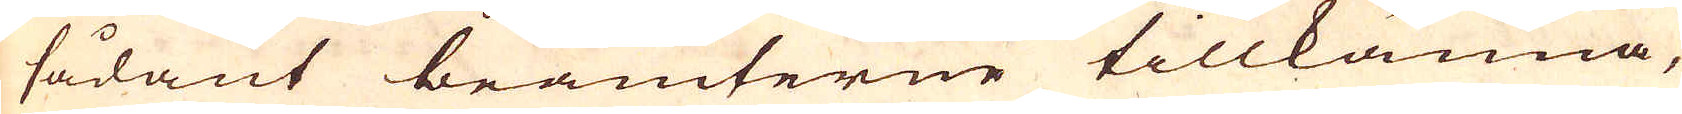sådant bramterne tillkänna,
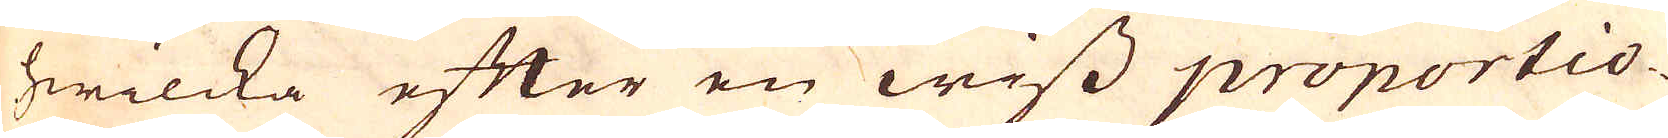hwilcka efter en wiss proportio-
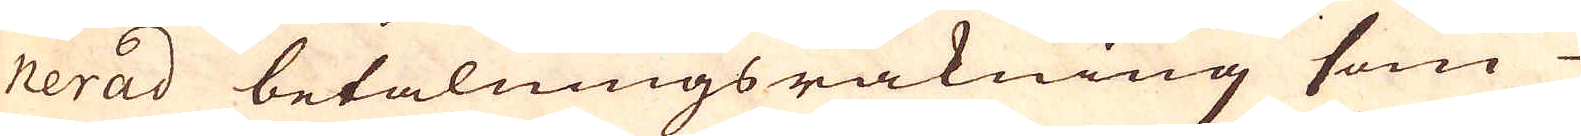nerad betalningsräkning som
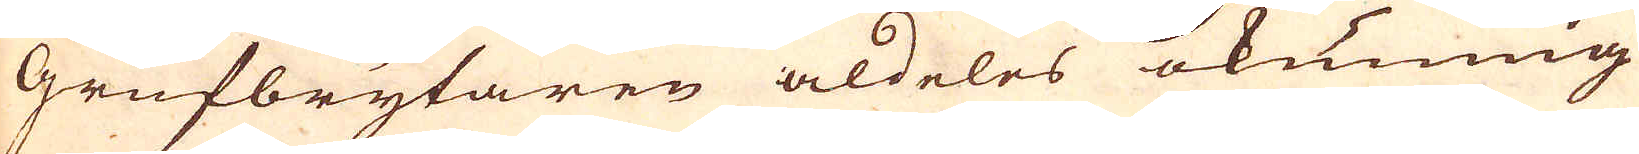Grufbrytaren aldeles okunnig
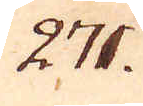271.
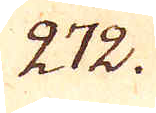272.
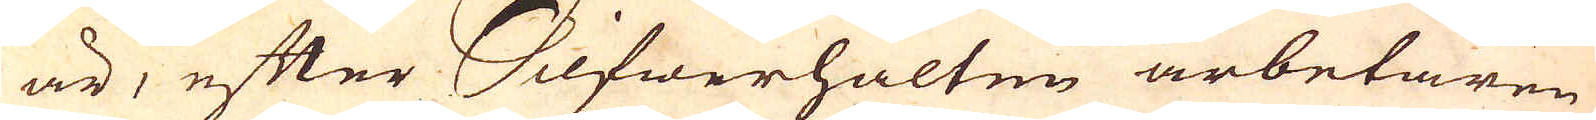är, efter Silfwerhalten arbetaren
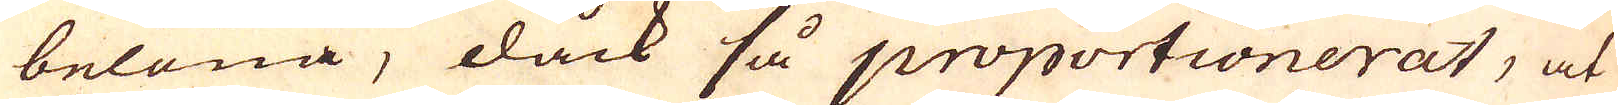belöna, dock så proportionerat, at
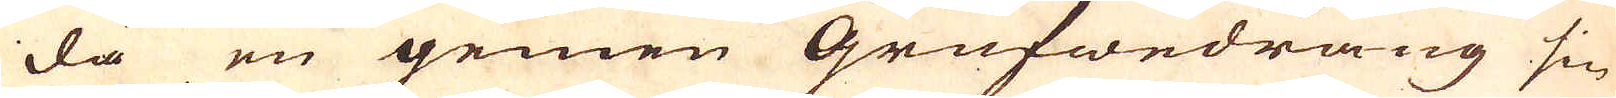då en gemen Grufwedräng sin
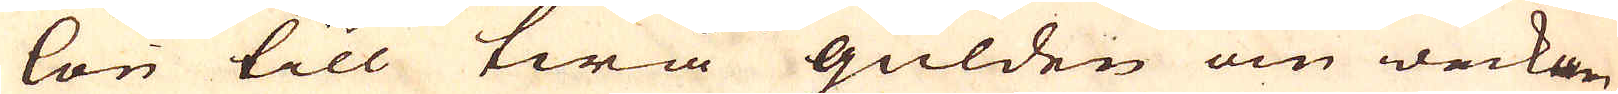lön till twå gülden om weckan
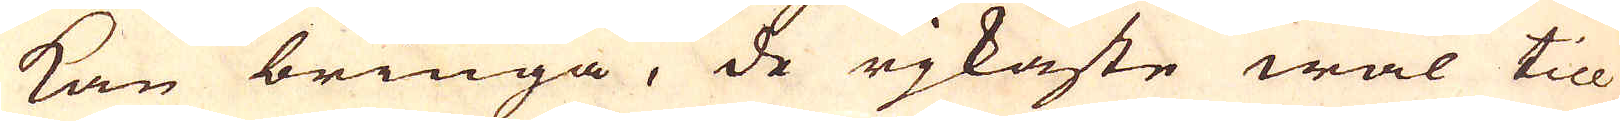kan bringa, de rjkaste wäl till
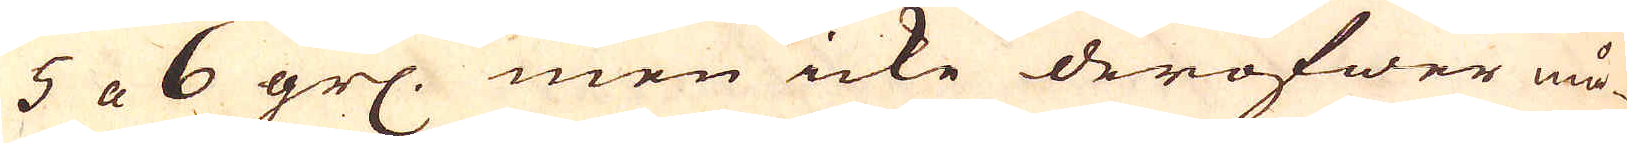5 a 6 grs. men icke deröfwer må-
